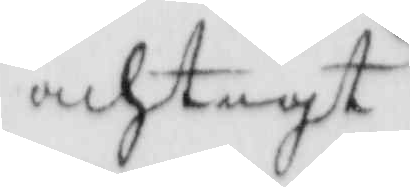achtigt
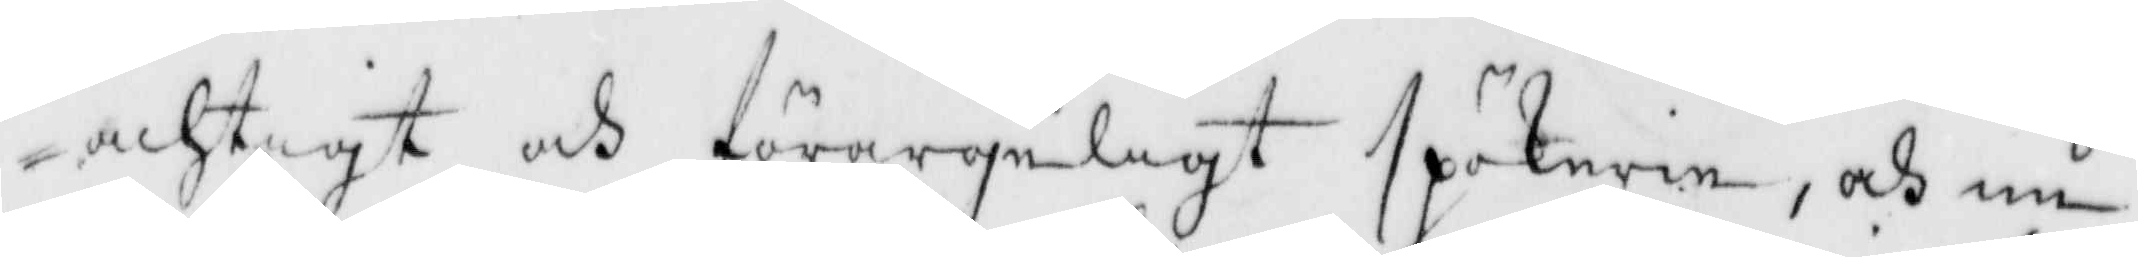achtigt och förargeligt spökere, och nu
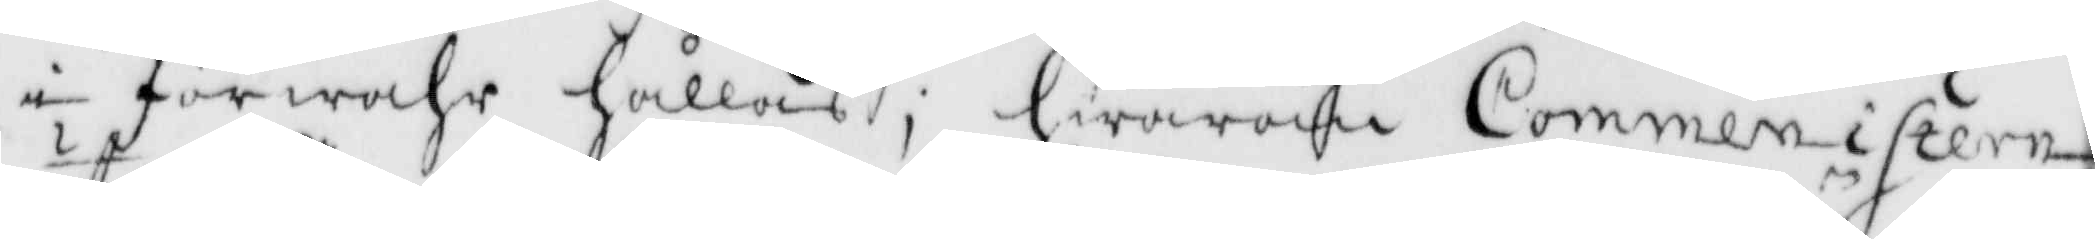i förwahr hållaes; hwarom Commeinistern
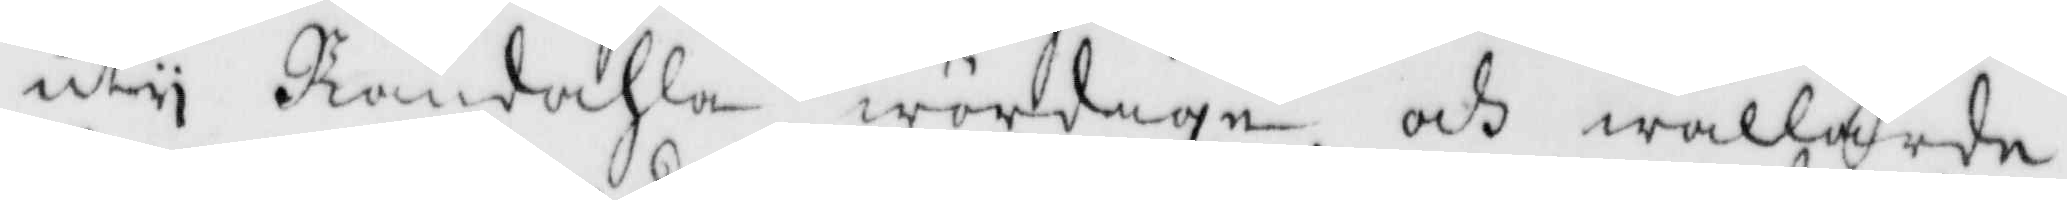uty Romdahla wördige och wällärde
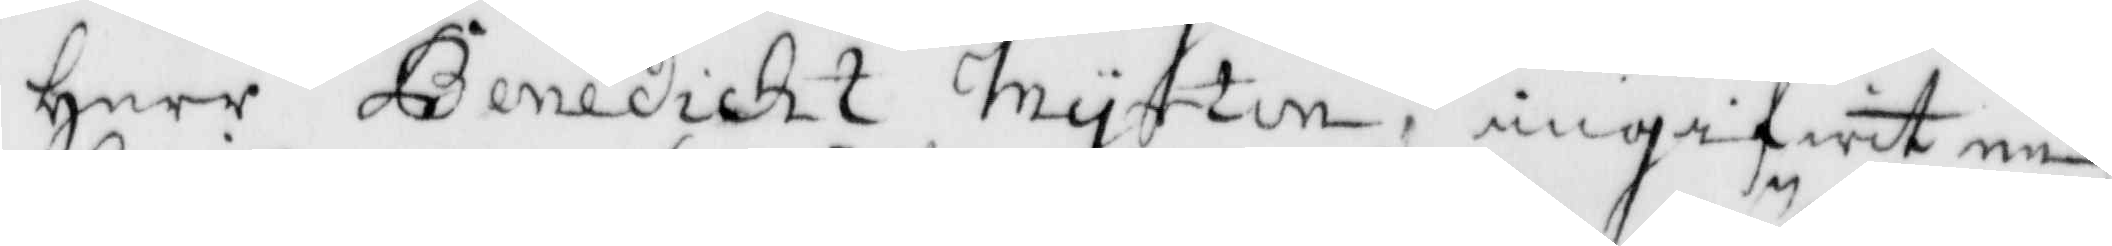Herre Benedickt Inyrtin angigwit en
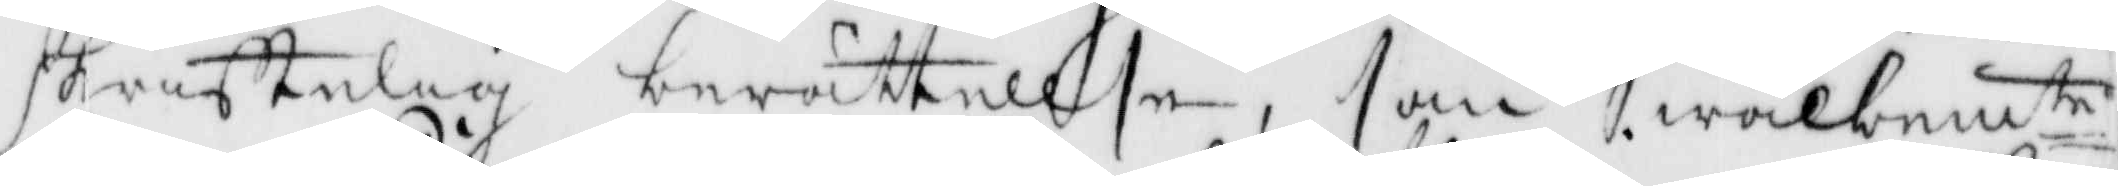skriftelig berättellse, som wälbemte
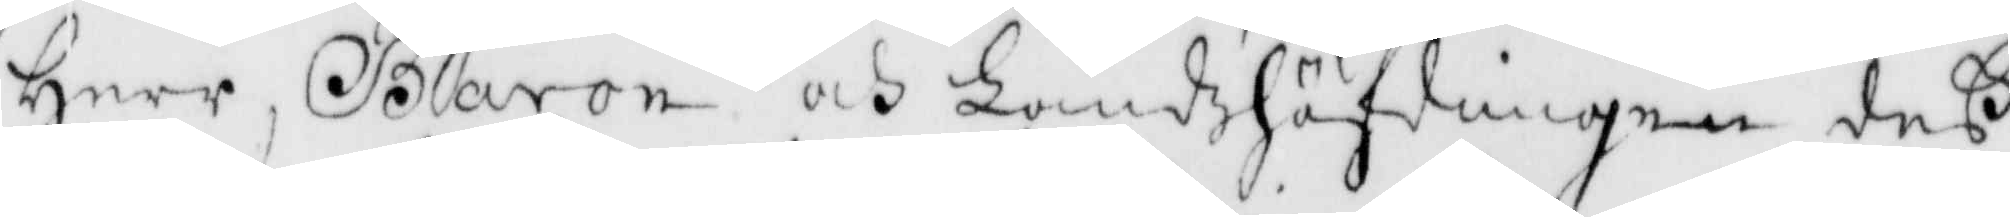Herr Baron och Landzhöfdingen deß
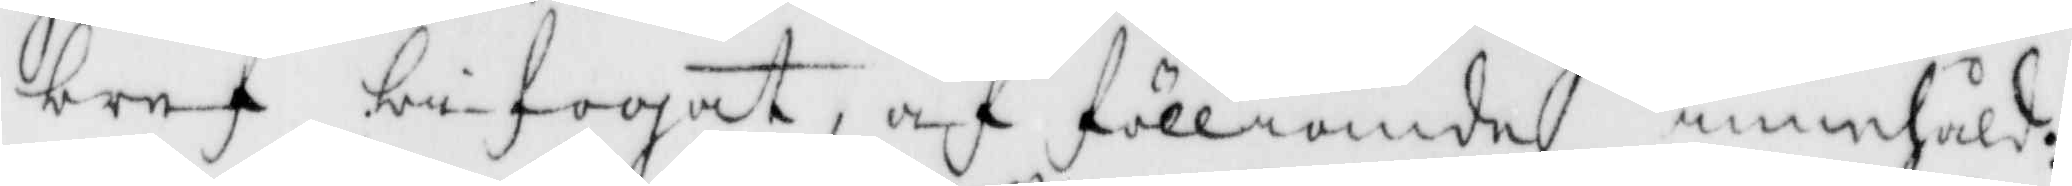bref bifogat, af fölliande innehåld:
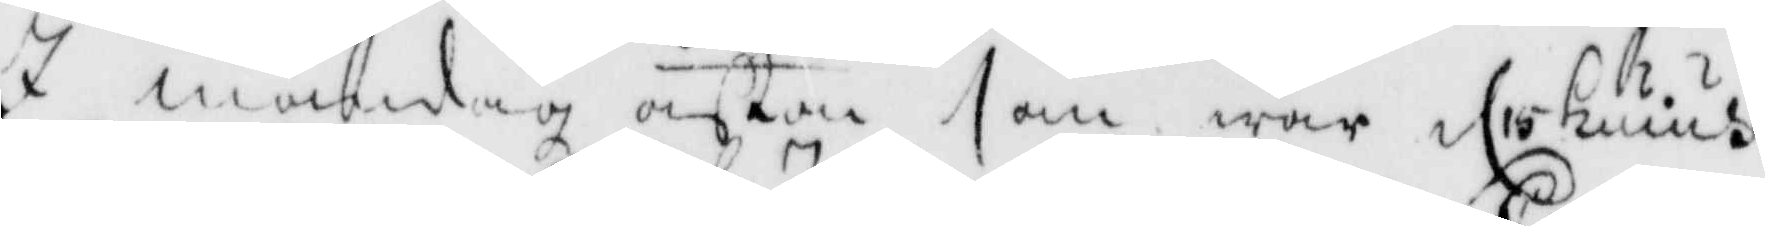I måndag afton som war d 15 huius
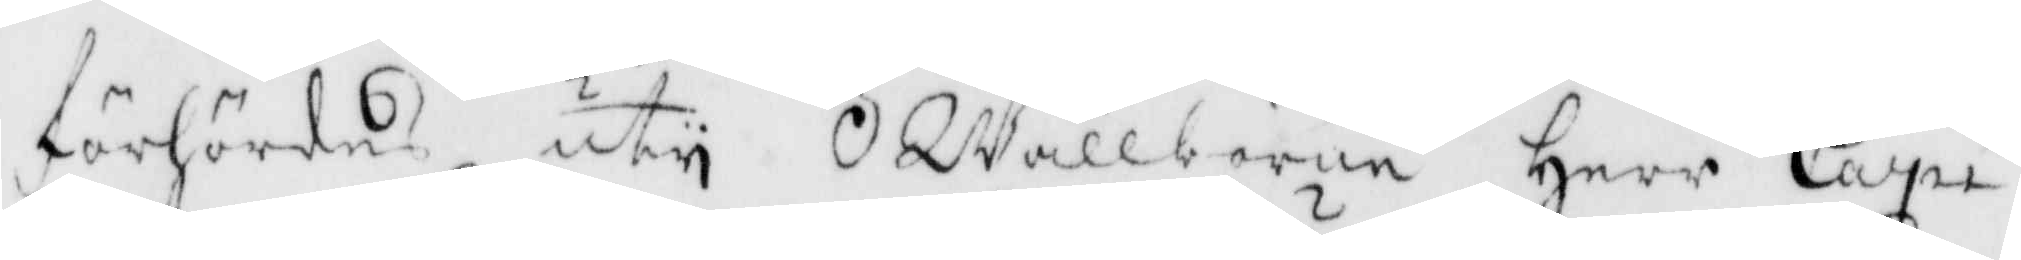förhördes uty Wällborne Herr Capi¬
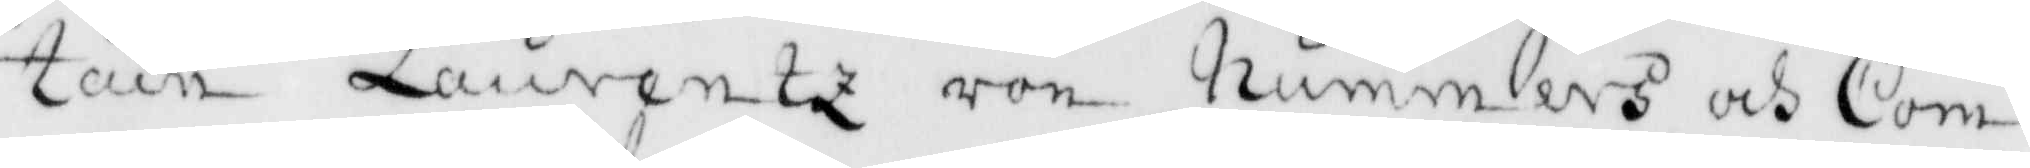tien Laurentz von Nummers och Com¬
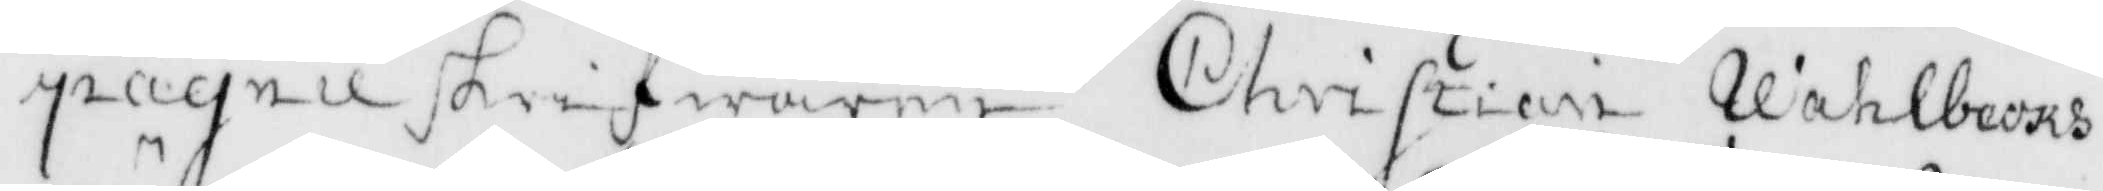pagnie skrifwaren Christieni Vahlbecks
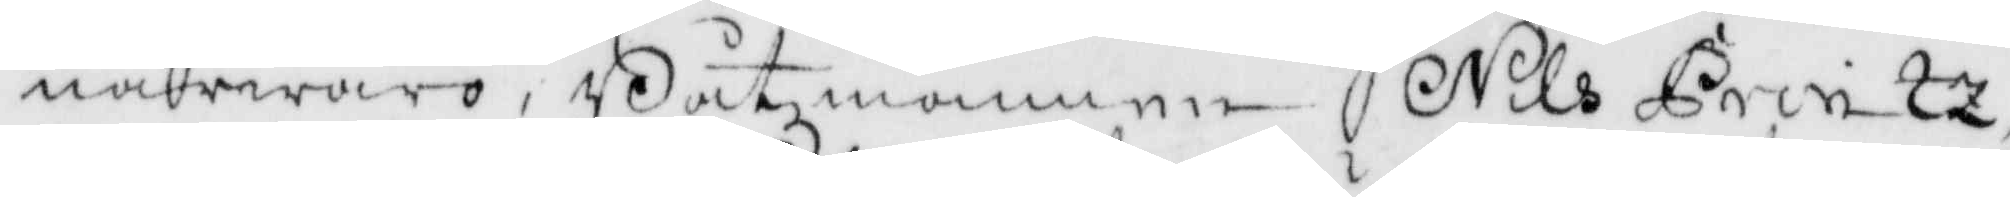närwro, Båtsmannen Nils Printz
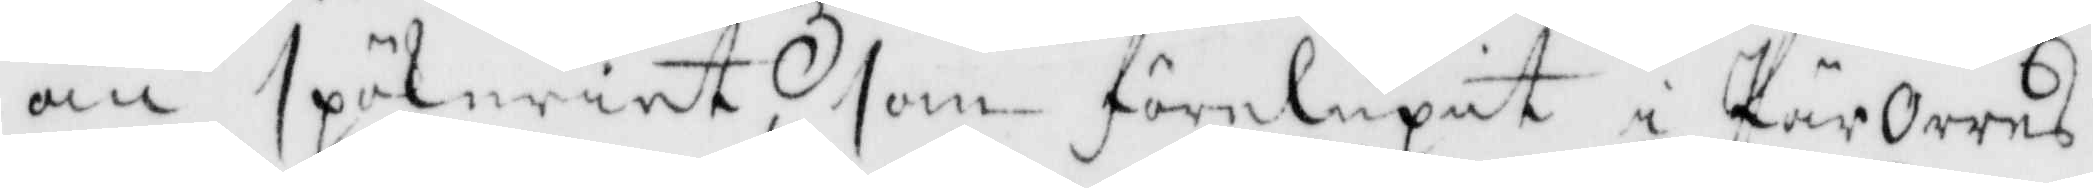om spökeriet som förelupit i Pär Orres
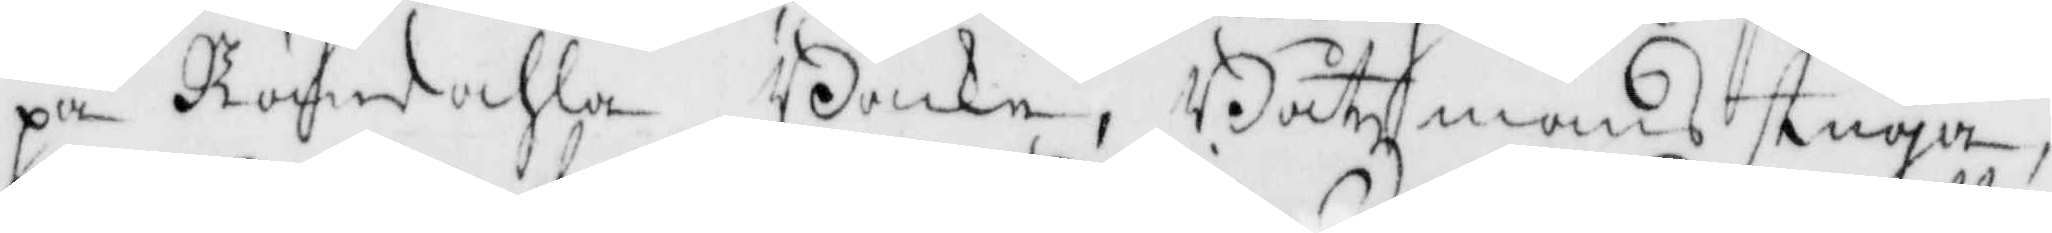på Romdahla Backe, Båtzmansstuga,
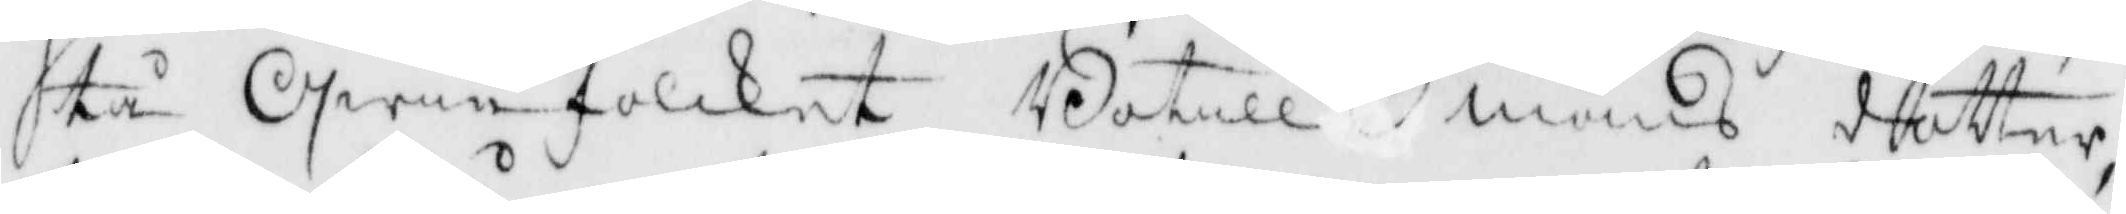tå Qwinfolcket Botill måns dotter
